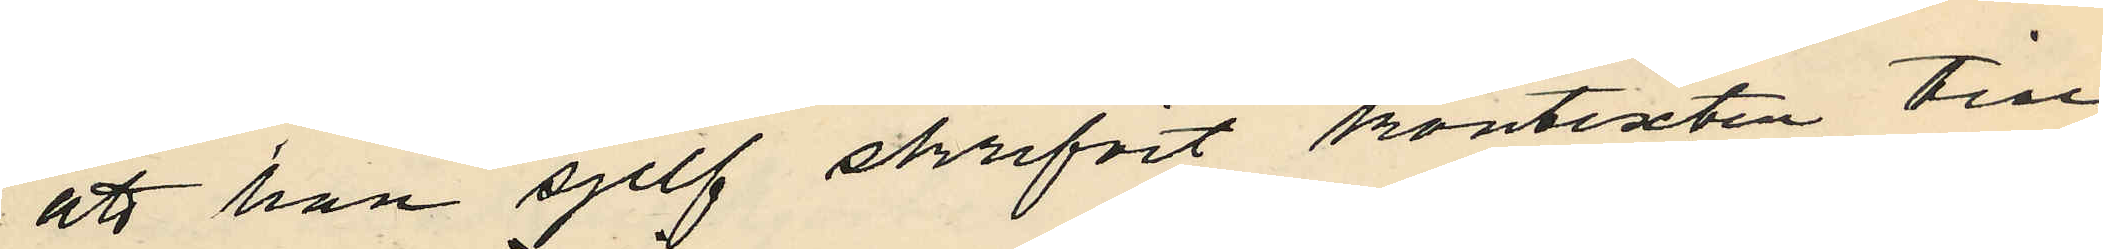att han sjelf skrifvit kontexten till
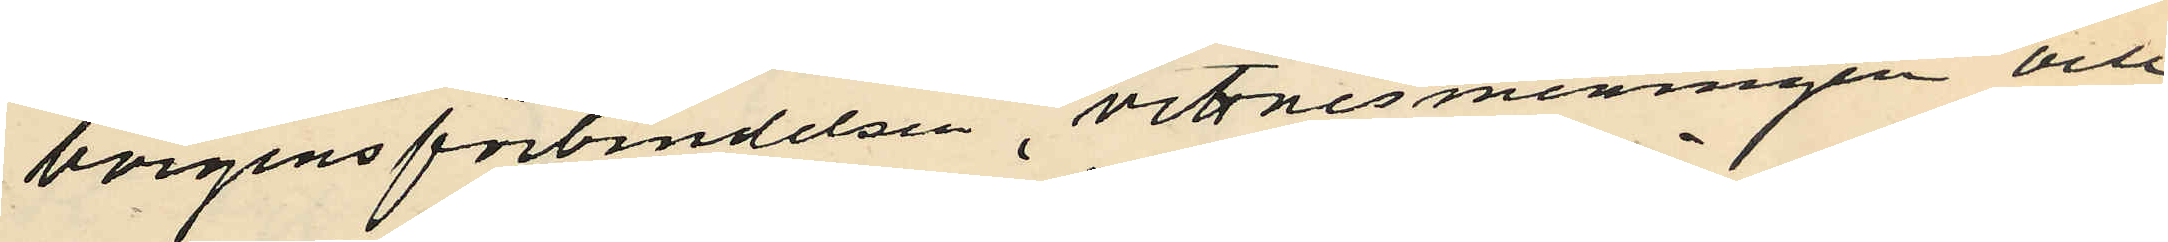borgensförbindelsen, vittnesmeningen och
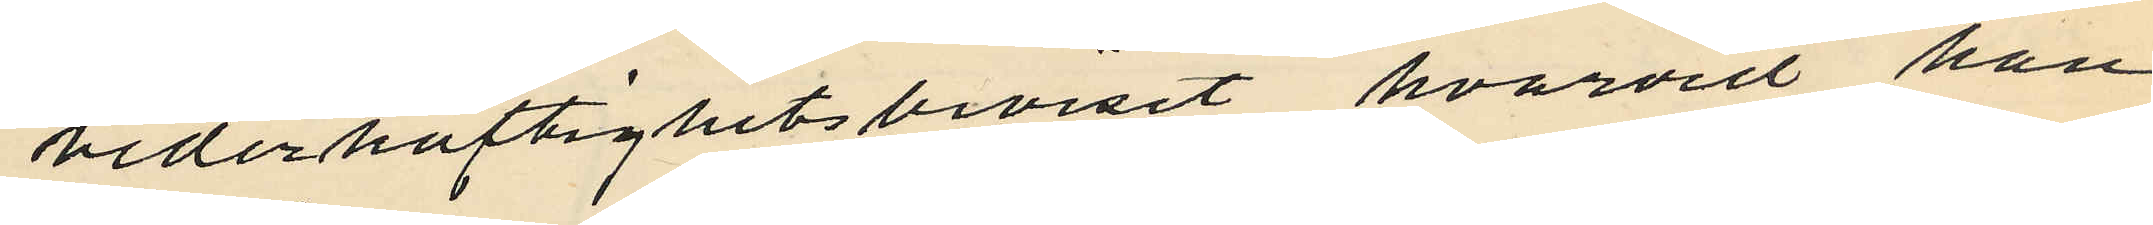vederhäftighetsbeviset hvarvid han
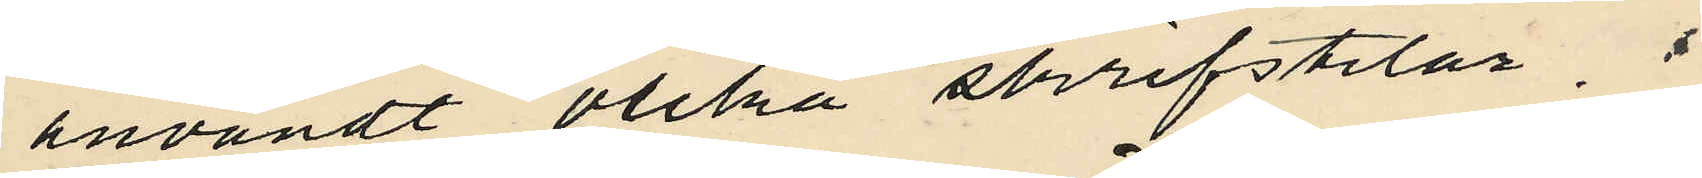användt olika skrifstilar.
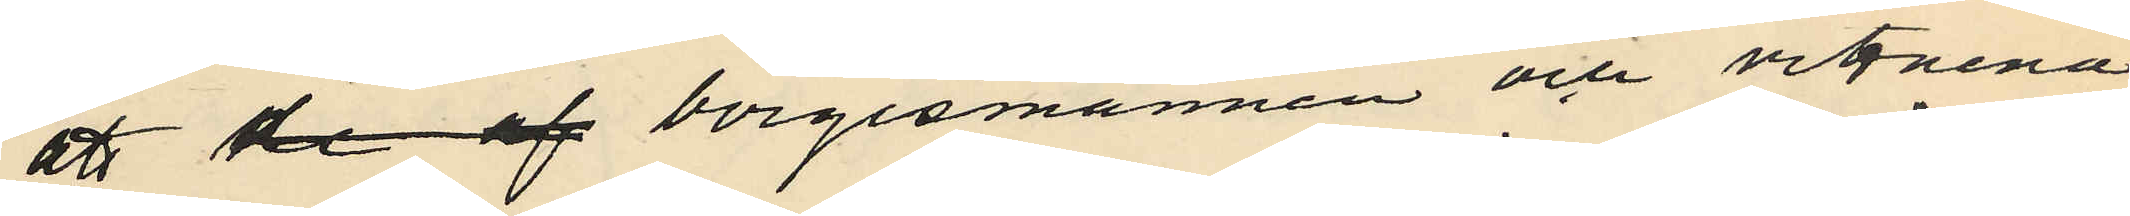att de af borgesmännen och vittnena
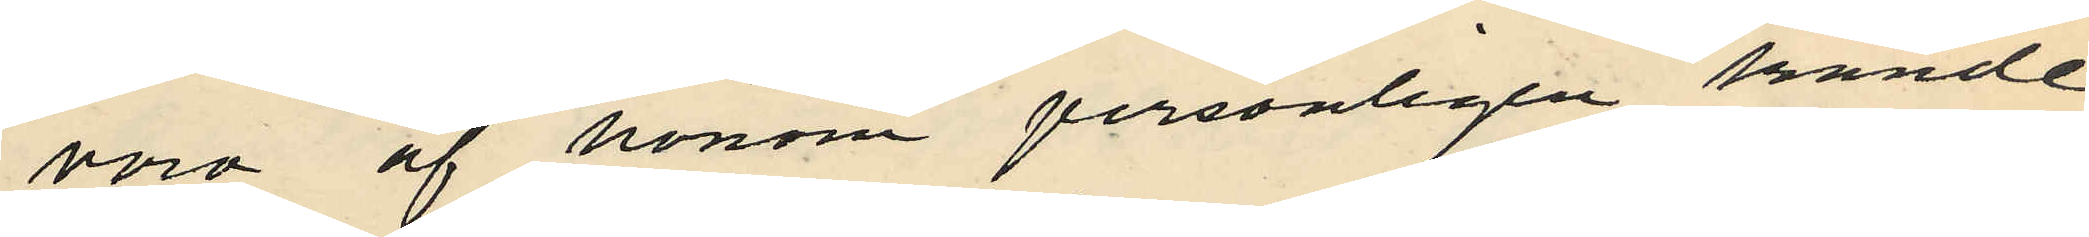voro af honom personligen kände
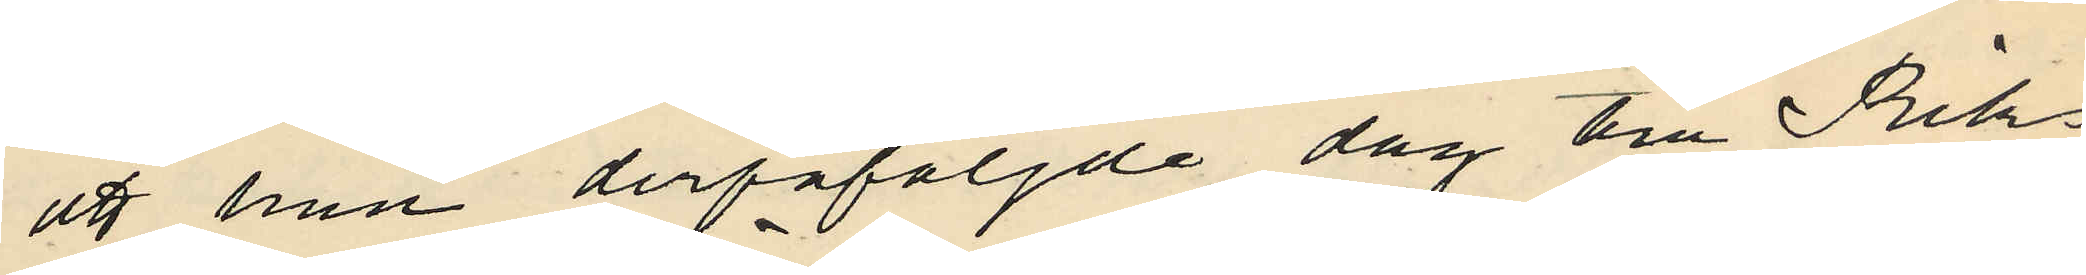att han derpåföljde dag till Riks¬
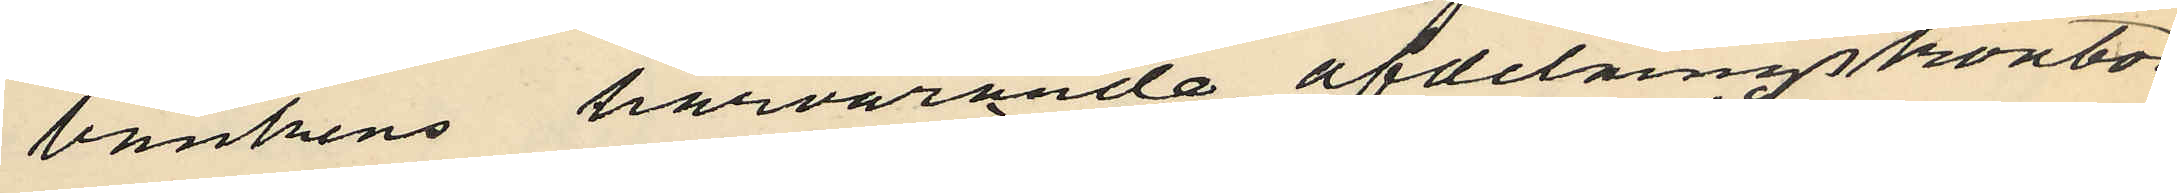bankens härvarande afdelningskontor
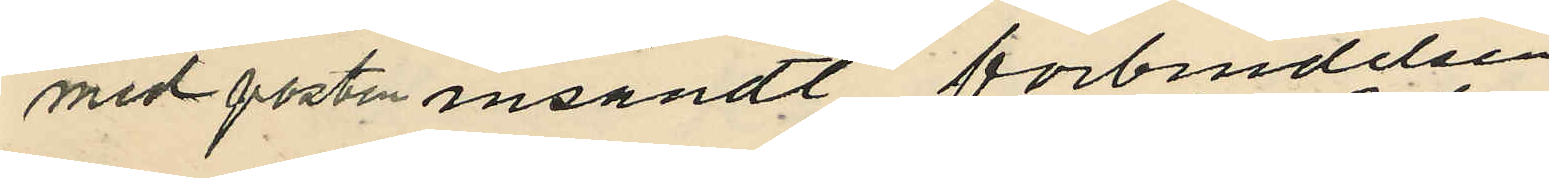med posten insändt förbindelsen
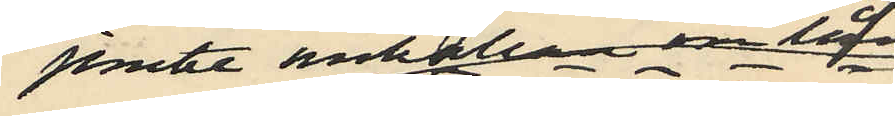jemte anhållan om lån
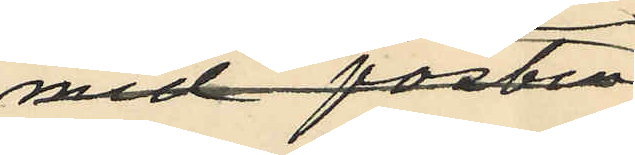med posten
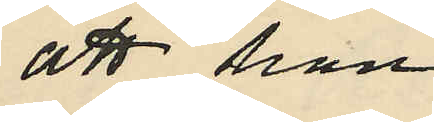att han
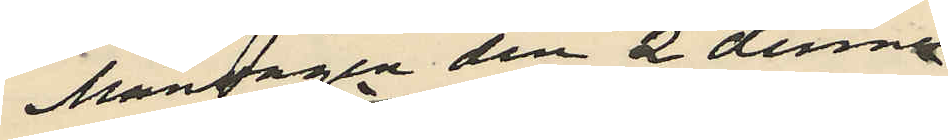Måndagen den 2 dennes
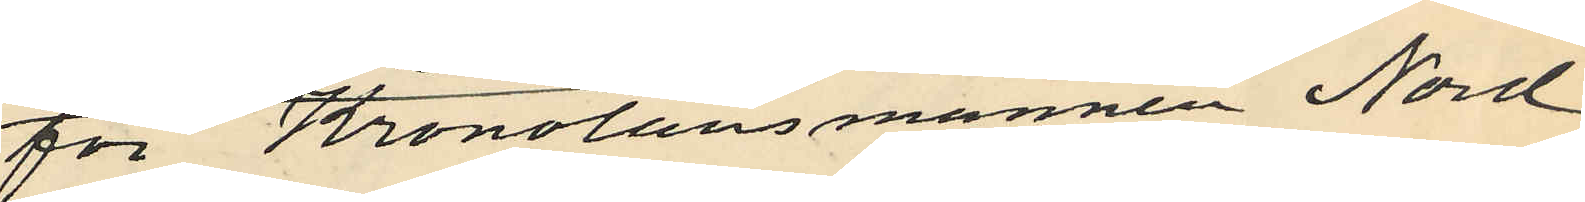för Kronolänsmannen Nord¬
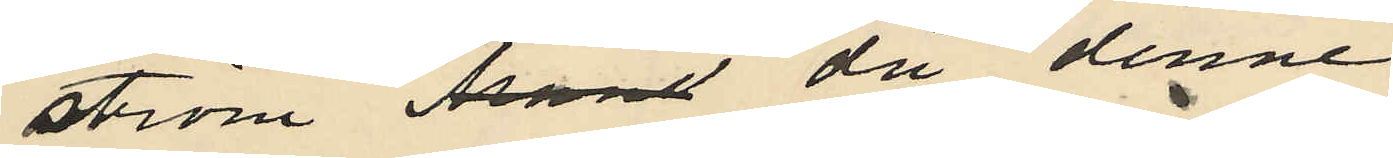ström då denne
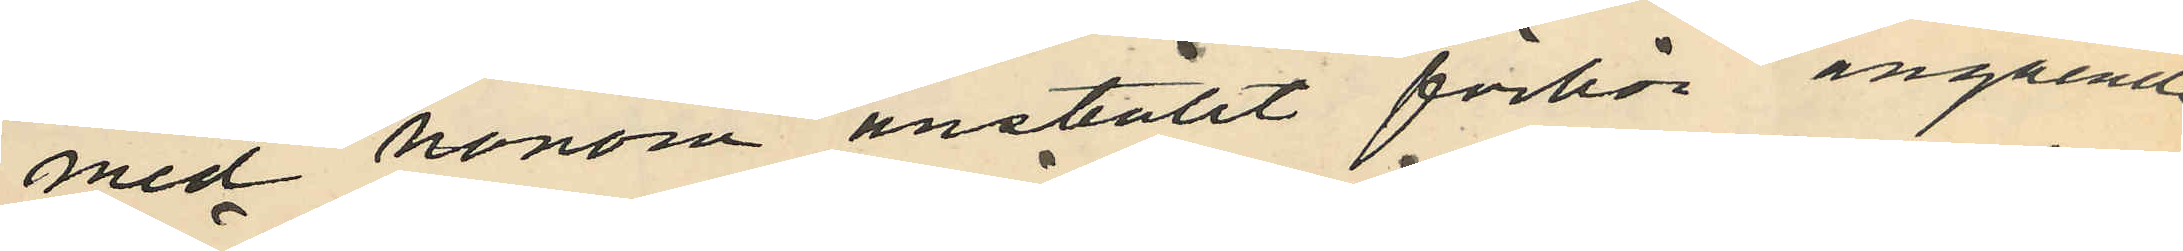med honom anställt förhör angående
